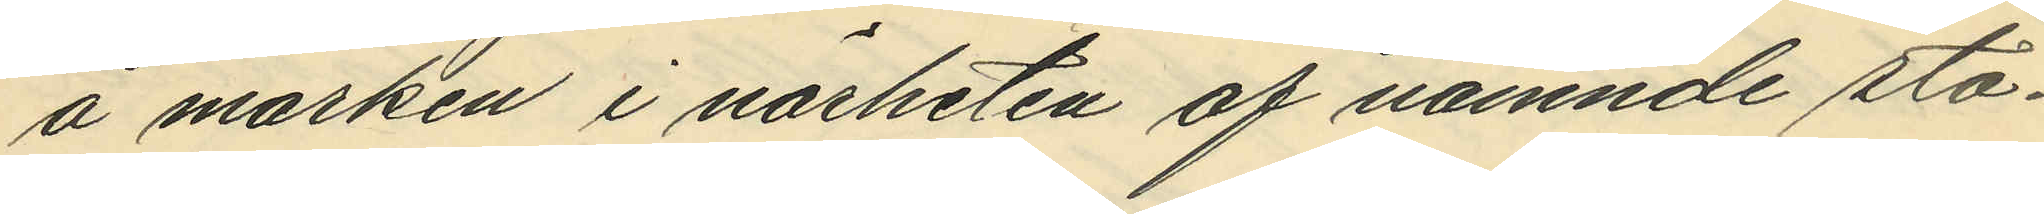å marken i närheten af nämnde sta¬
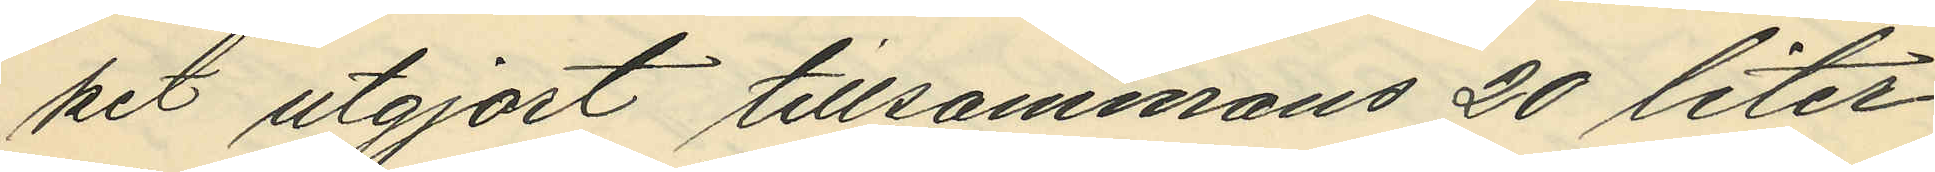ket utgjort tillsammans 20 liter
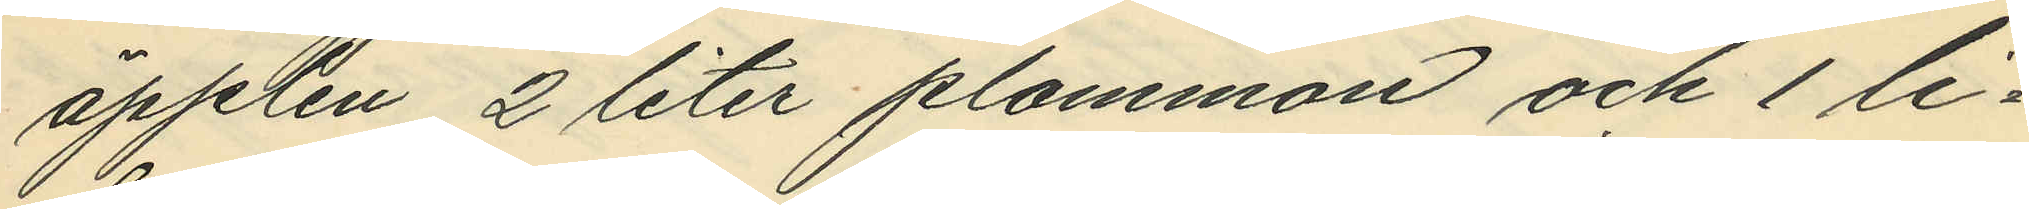äpplen 2 liter plommon och 1 li¬
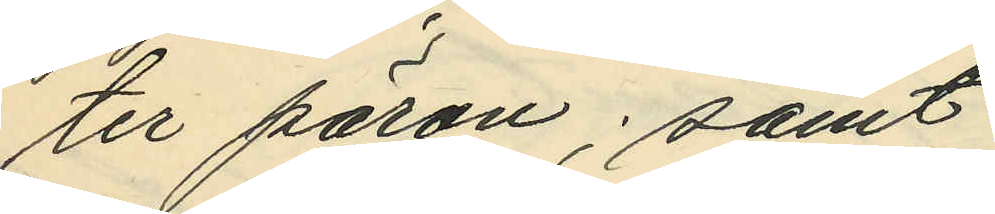ter päron; samt
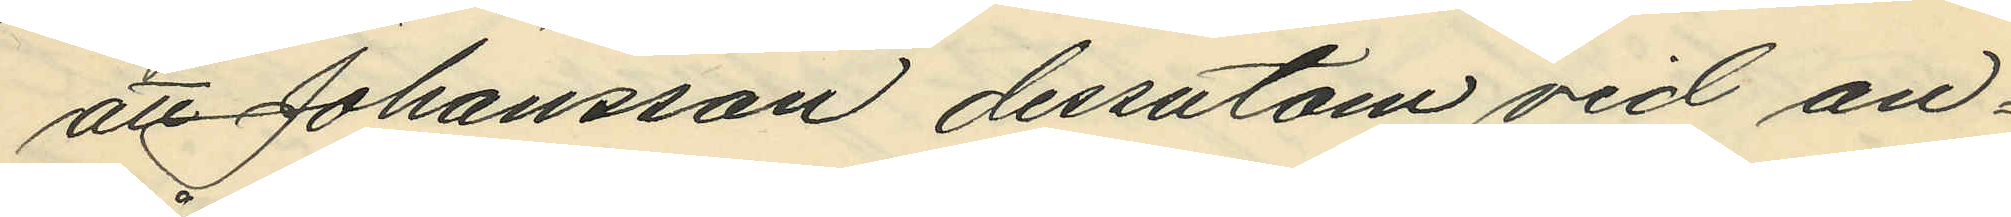att Johansson dessutom vid an¬
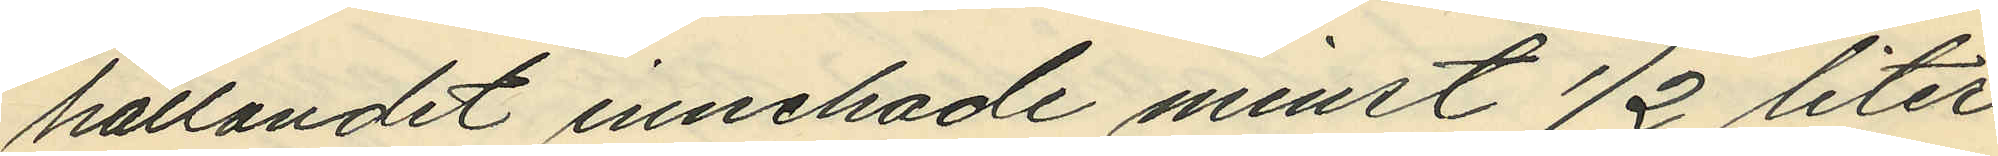hållandet innehade minst ½ liter
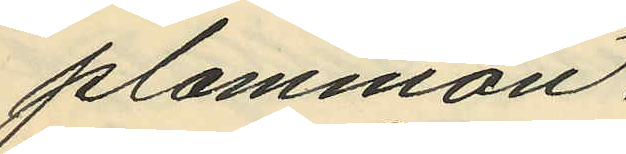plommon.
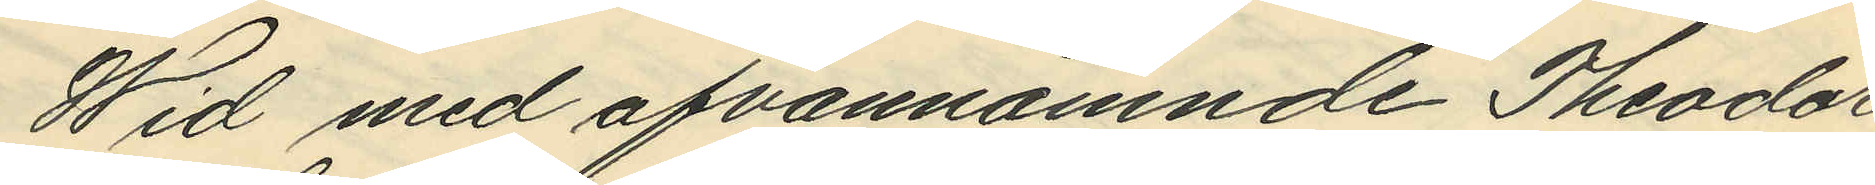Wid med ofvannämnde Theodor
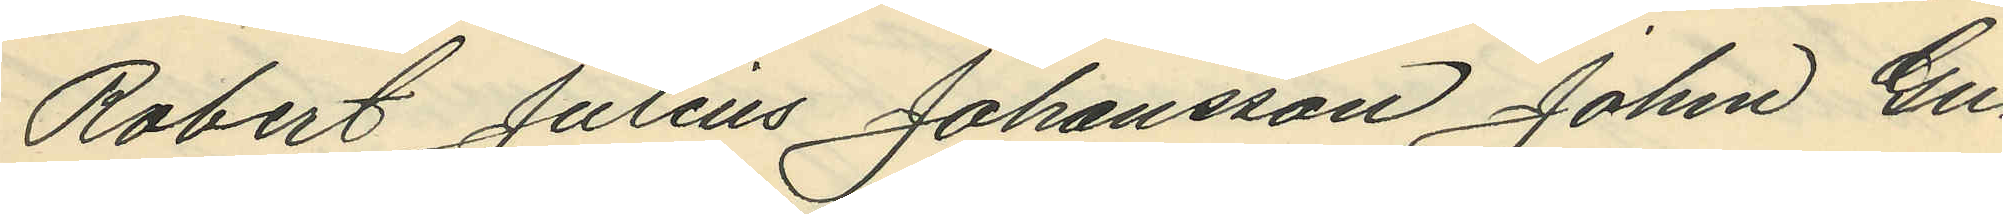Robert Julius Johansson John Gu¬
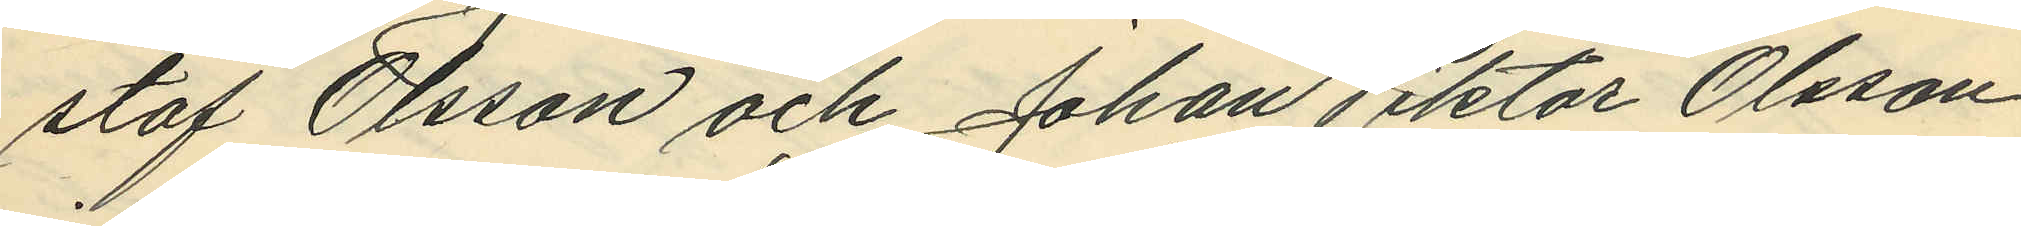staf Olsson och Johan Viktor Olsson
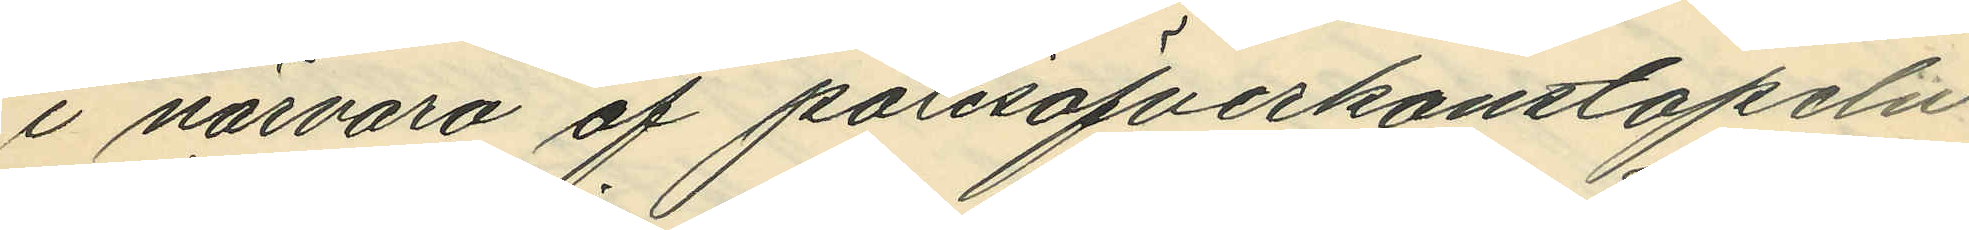i närvaro af polisöfverkonstapeln
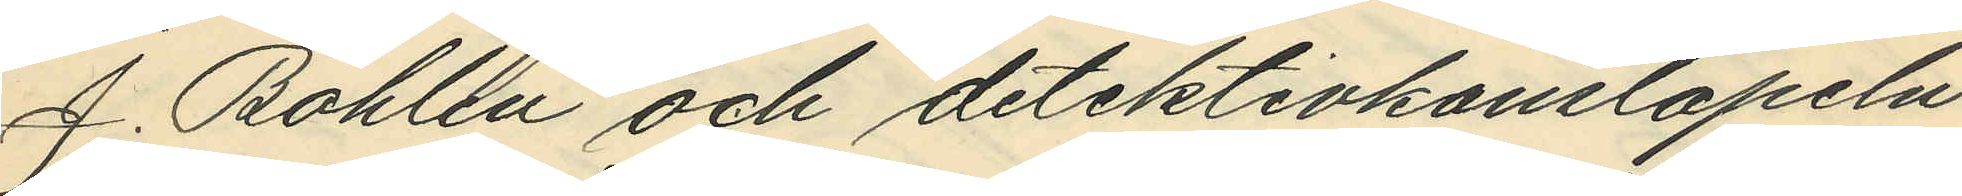J. Bohlin och detektivkonstapeln
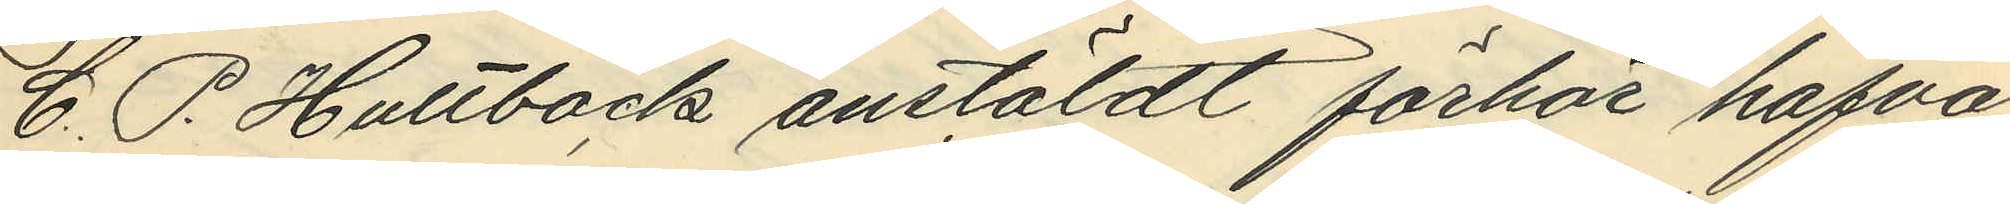C. P. Hultbäck anstäldt förhör hafva
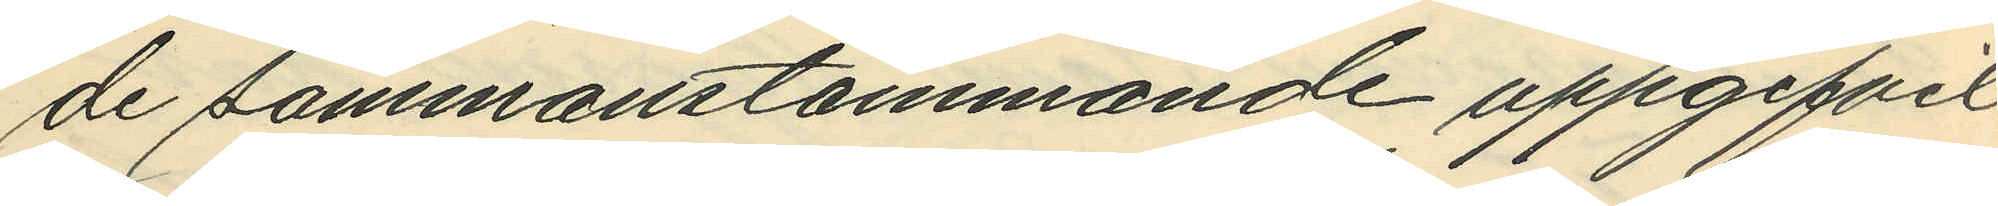de sammanstämmande uppgifvit
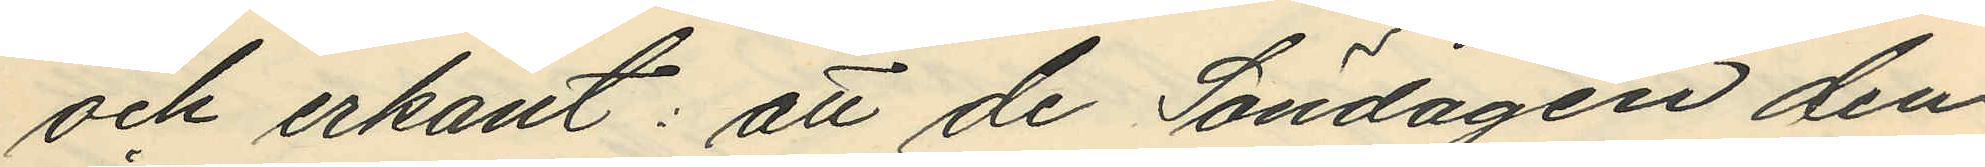och erkänt: att de Söndagen den
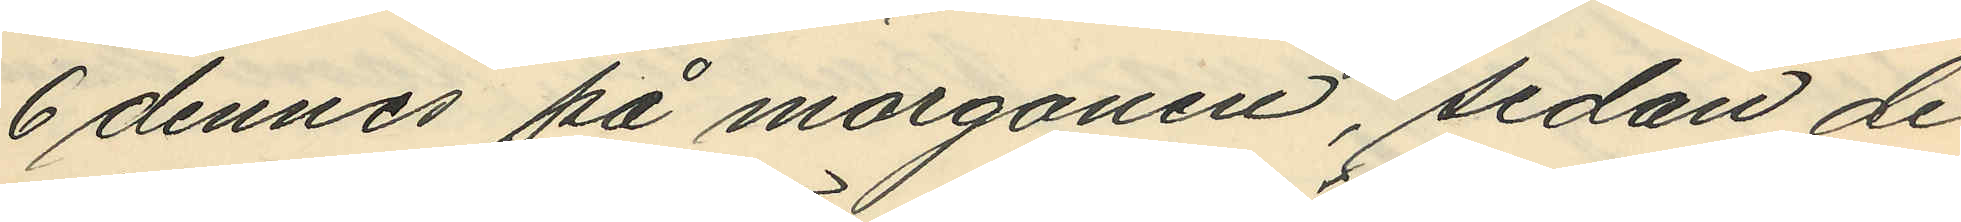6 dennes på morgonen, sedan de
